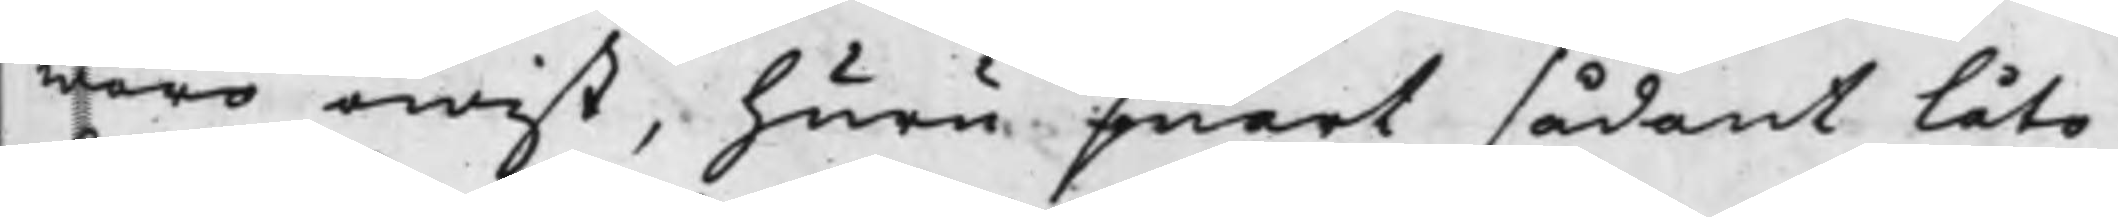woro owist, huru snart sådant låta
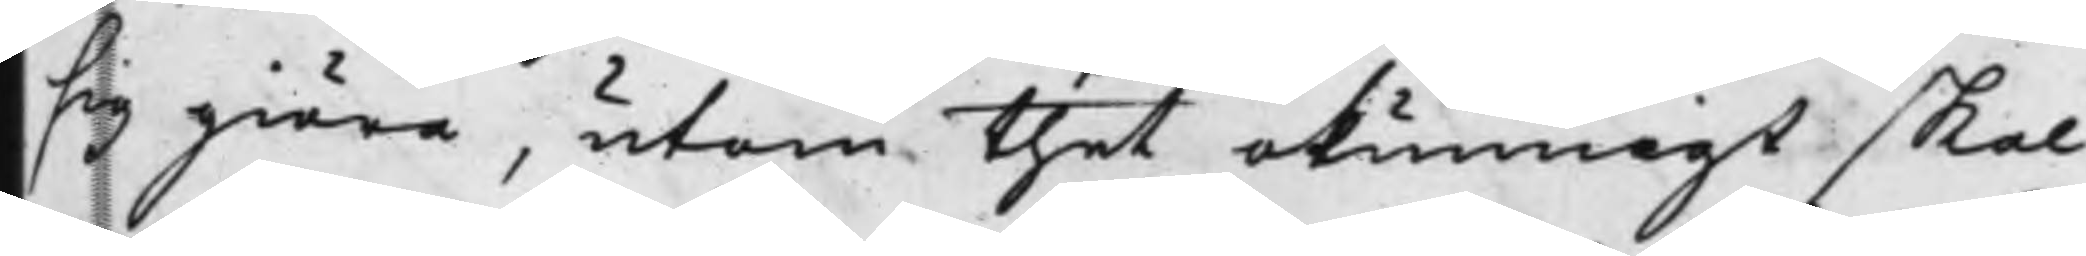sig giöra, utan thet okunnigt skal
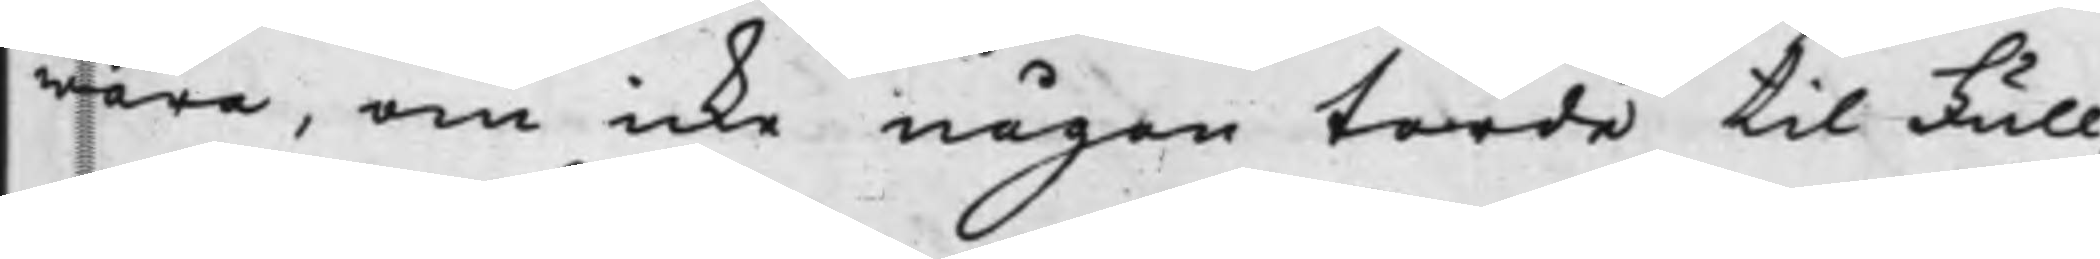wara, om icke någon torde til Full¬
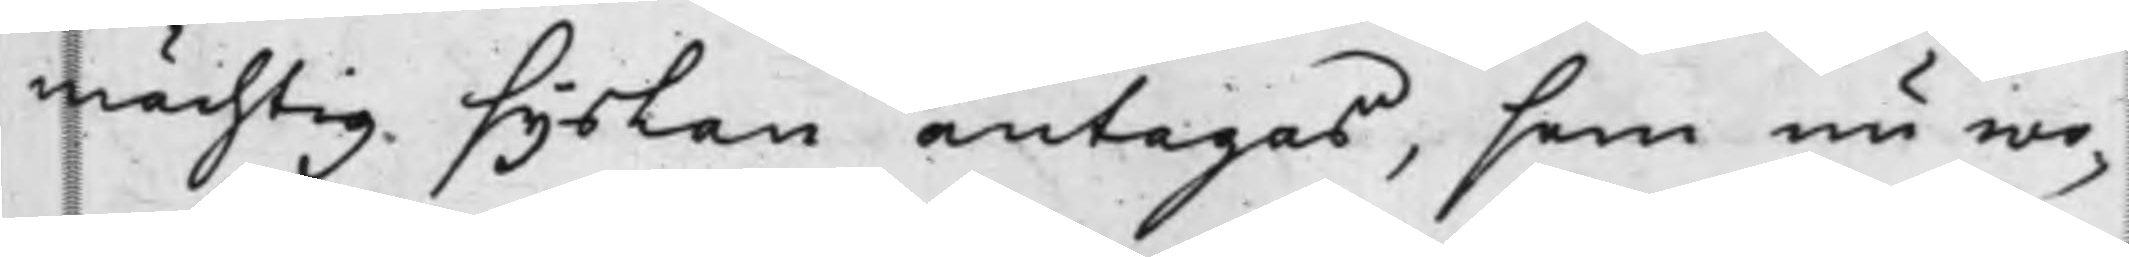mächtig syslan antagas, som nu wo¬
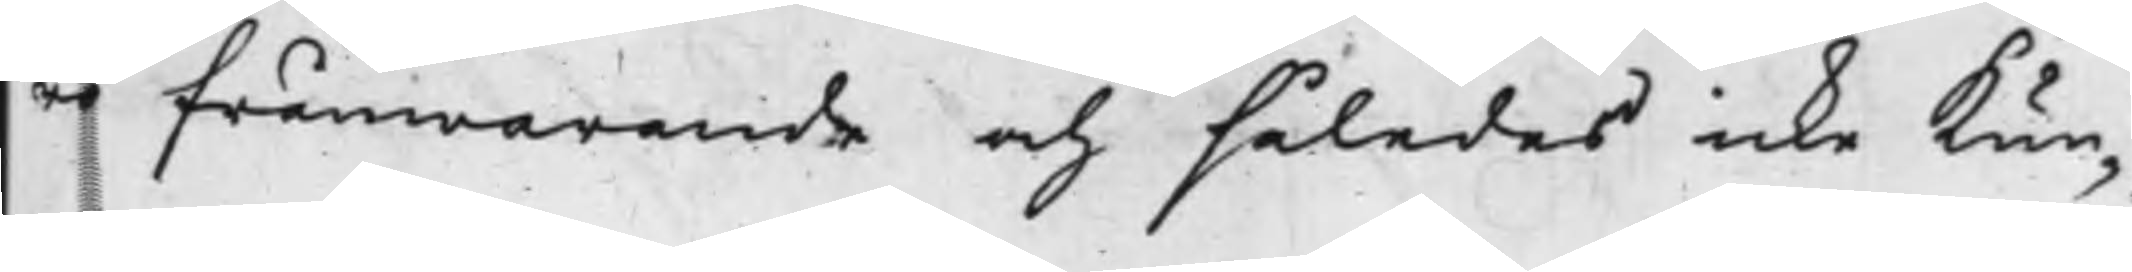ro frånwarande och således icke Kun¬
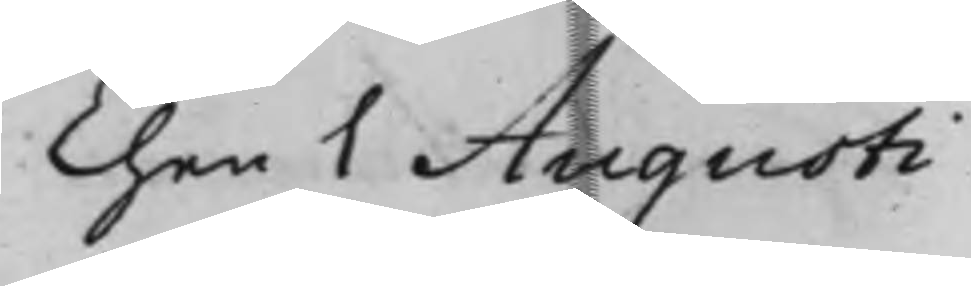Then 1 Augusti
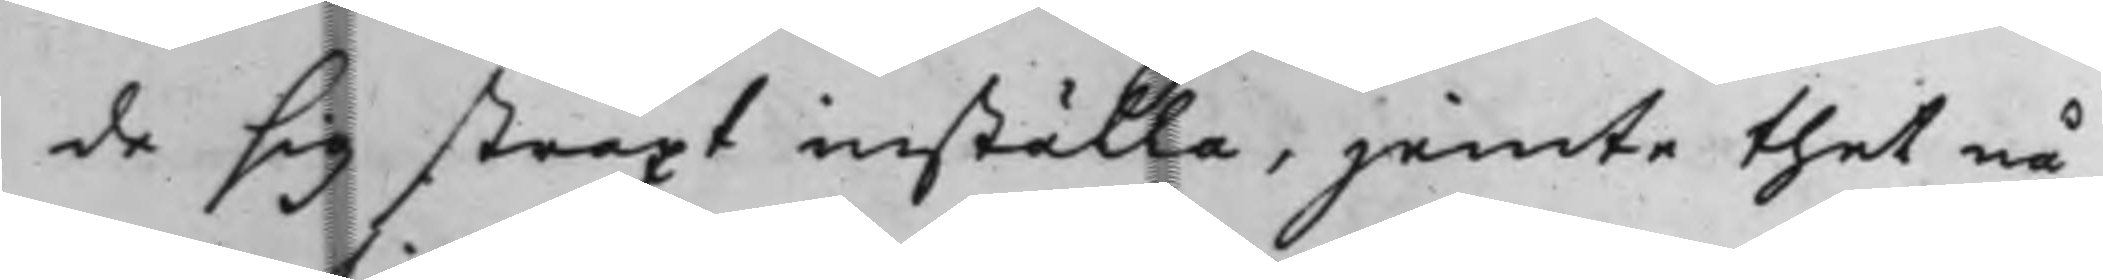de sig straxt inställa, jemte thet nå¬
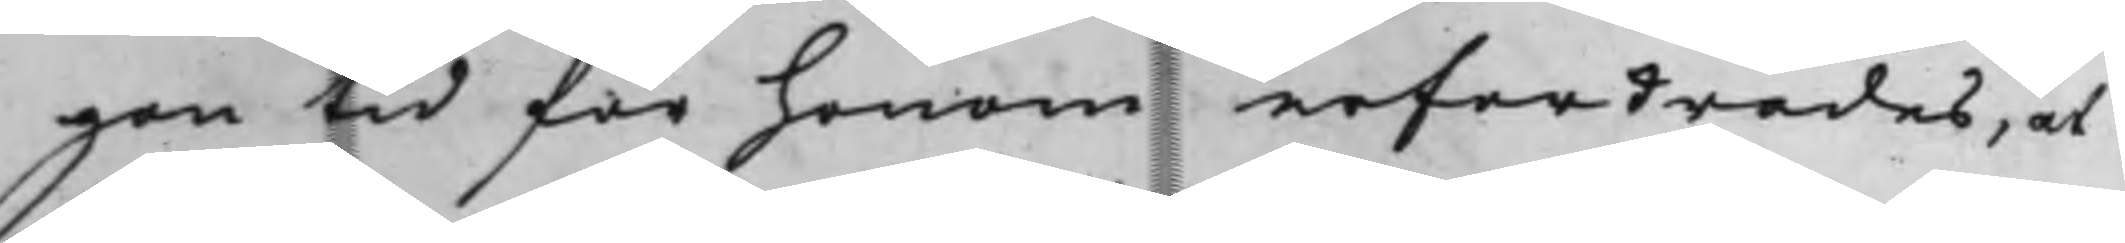gon tid för honom erfordrades, at
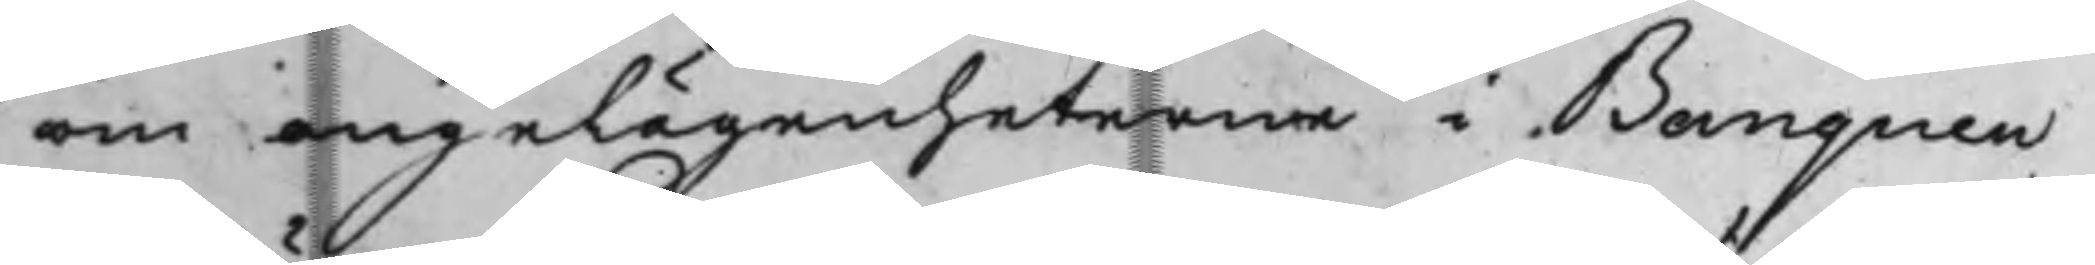om angelägenheterne i Banquen
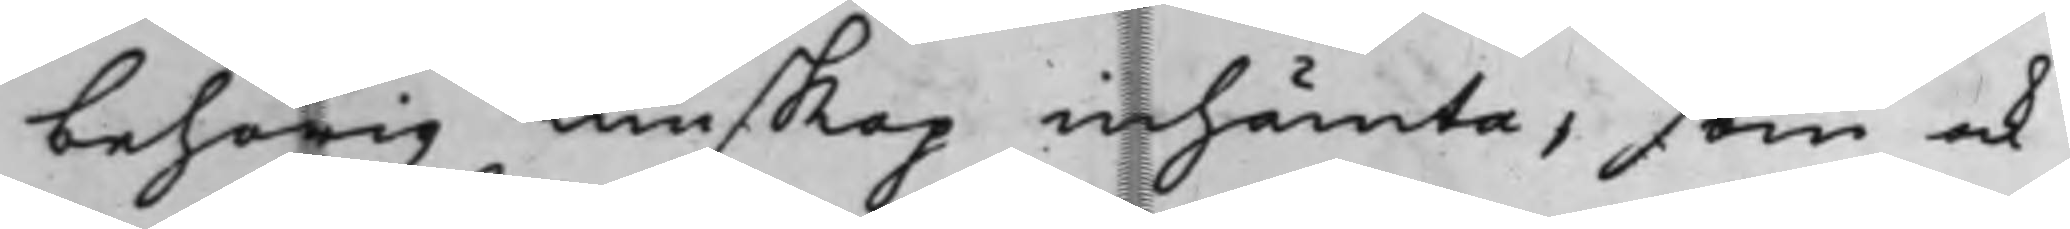behörig kunskap inhämta, som ock
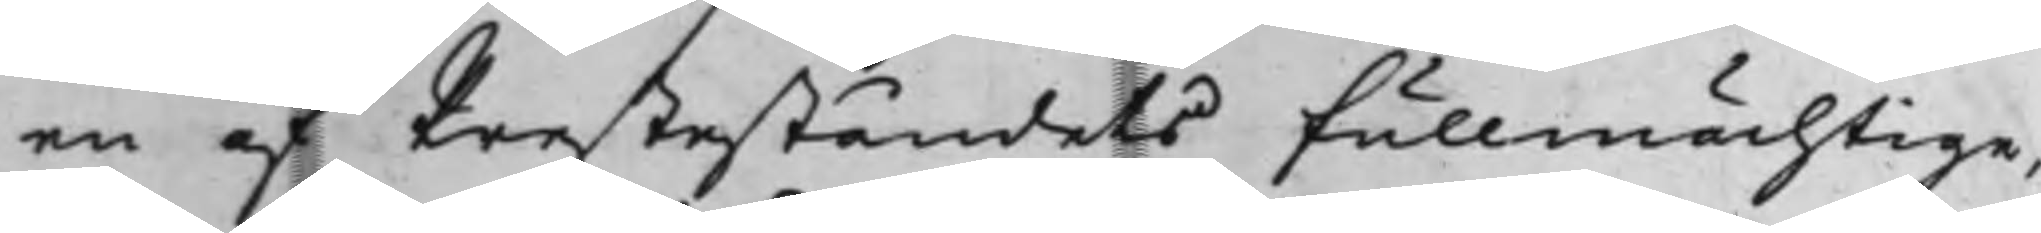en af Presteståndets fullmächtige,
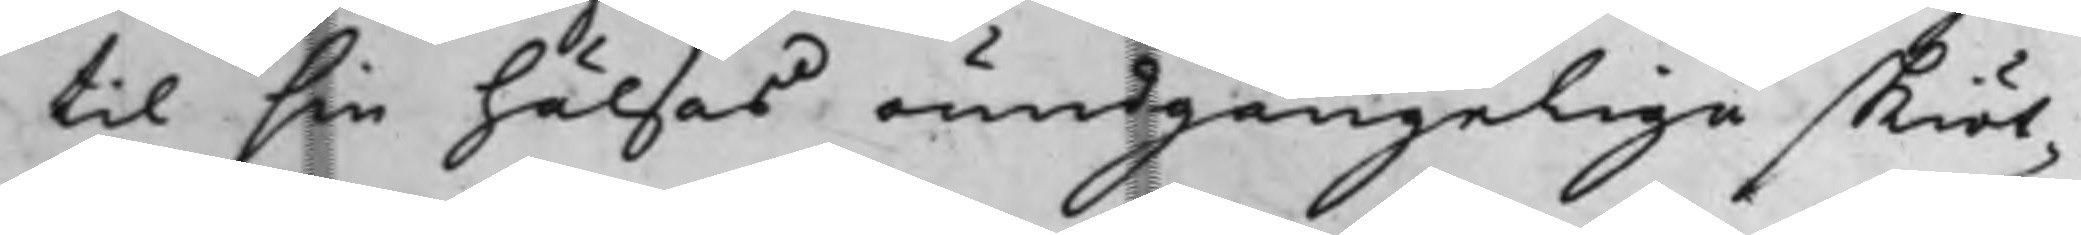til sin hälsas oundgängelige skiöt¬
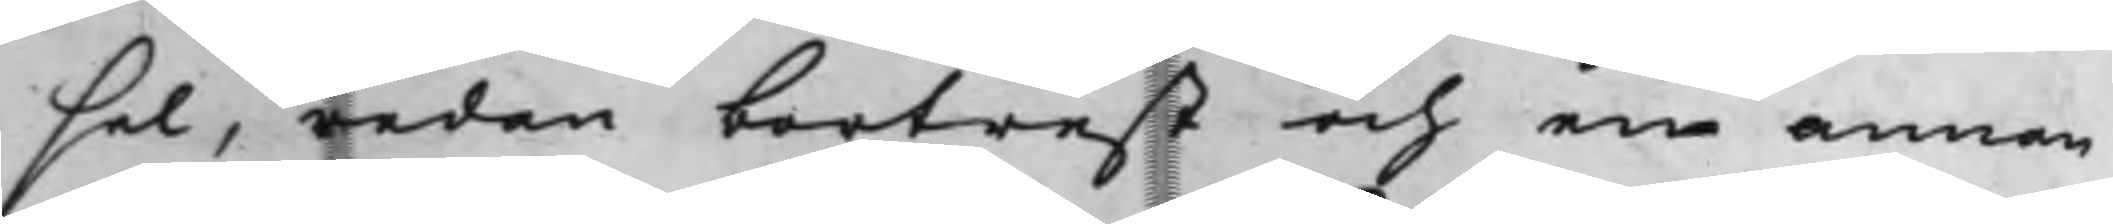sel, redan bortrest och en annan
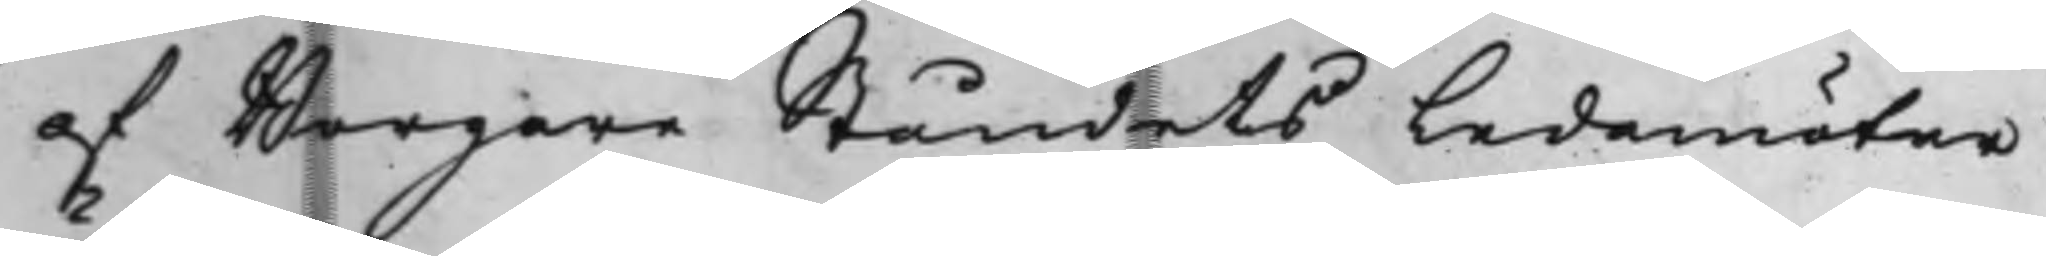af Borgare Ståndets Ledamöter
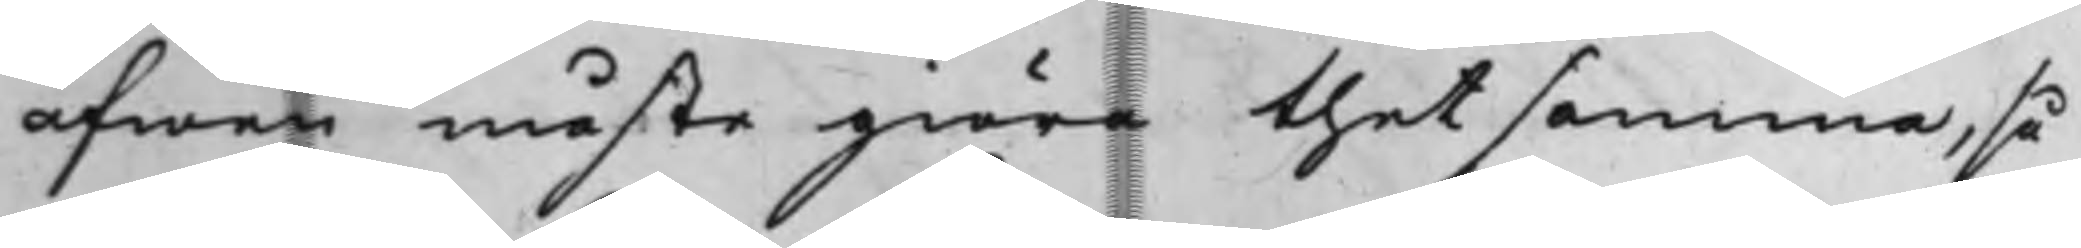äfwen måste giöra thet samma, så
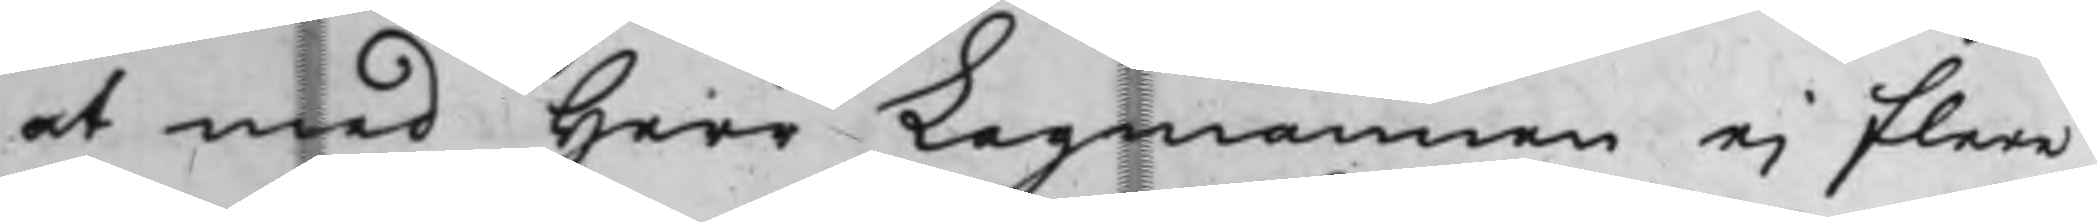at med Herr Lagmannen ej flere
